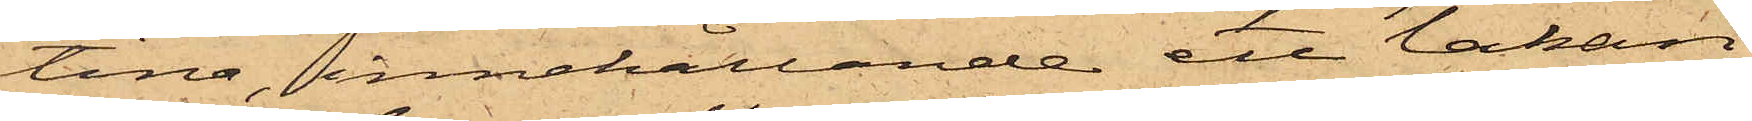tina, innehållande ett lakan,
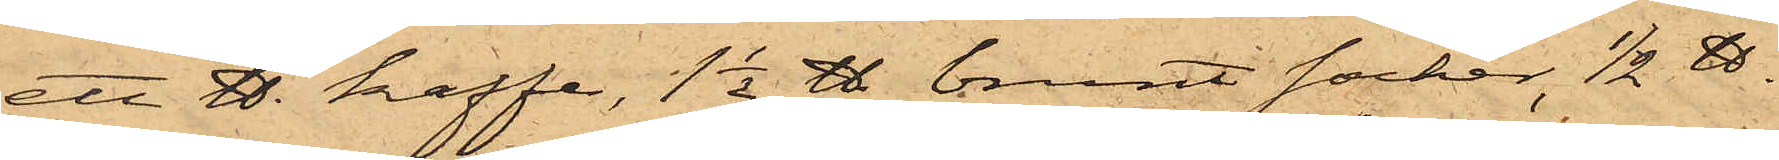ett ℔. kaffe, 1 1/2 ℔ brunt socker, 1/2 ℔.
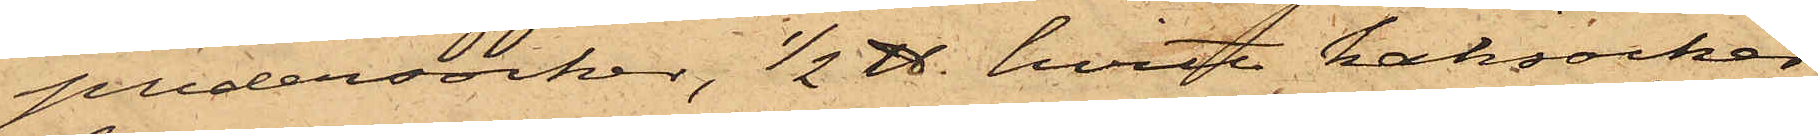puder socker, 1/2 ℔. hvitt kaksocker,
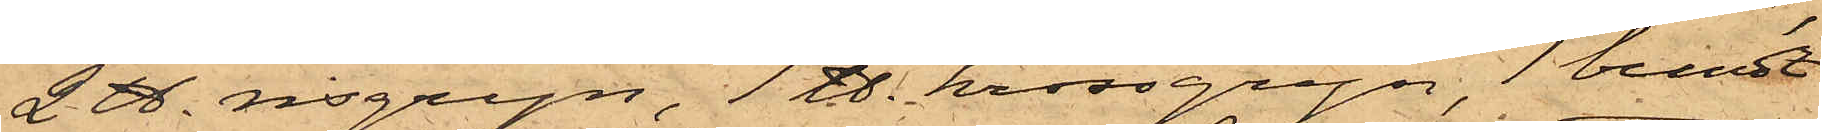2 ℔. risgryn, 1 ℔. krossgryn, 1 bundt
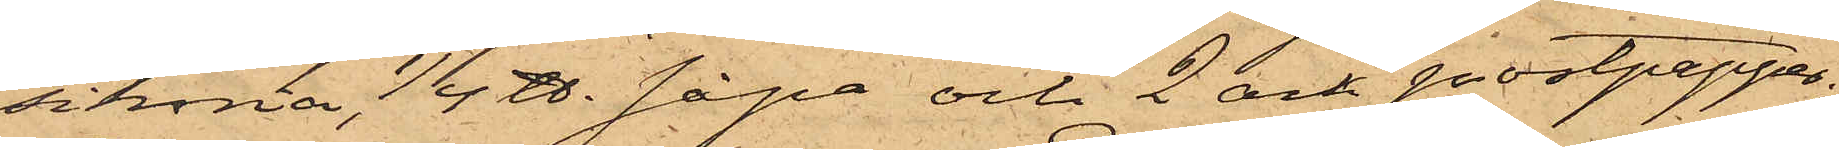sikoria, 1/4 ℔. såpa och 2 ark postpapper;
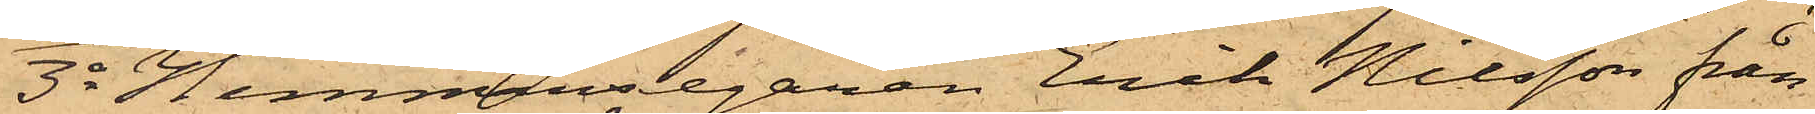3o Hemmansegaren Erik Nilsson från
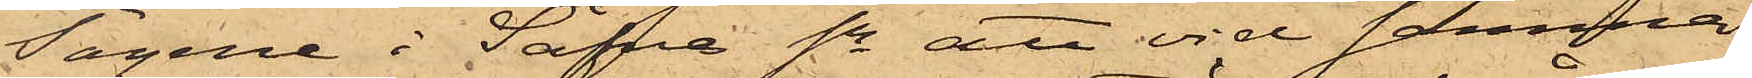Tagene i Säfve Sn att vid samma
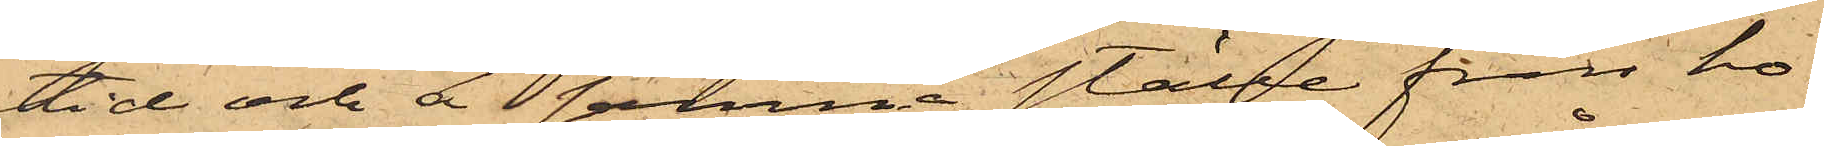tid och å samma ställe från ho¬
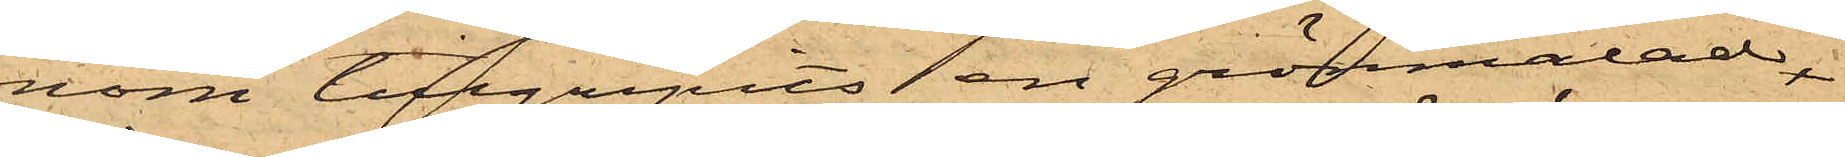nom tillgripits en grönmålad,
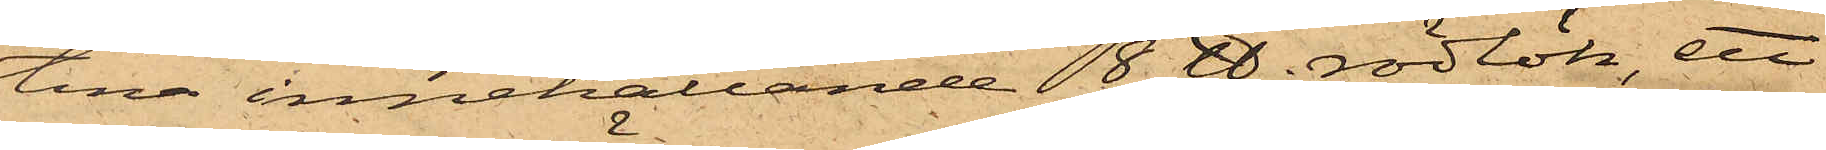tina innehållande 8 ℔. rödlök, ett
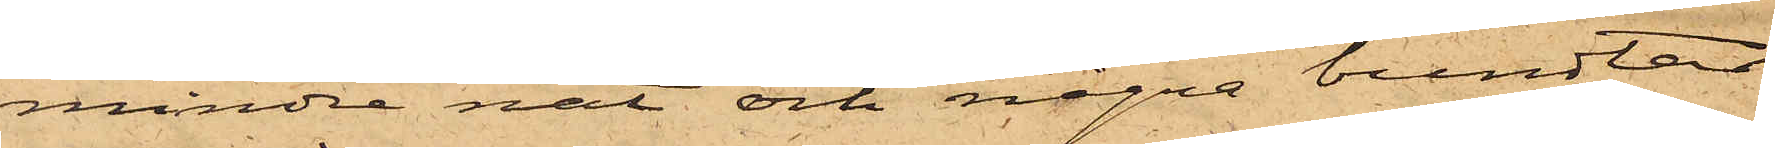mindre nät och några bundtar
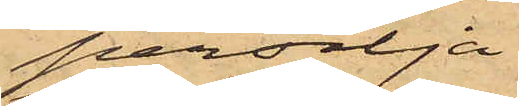persilja.
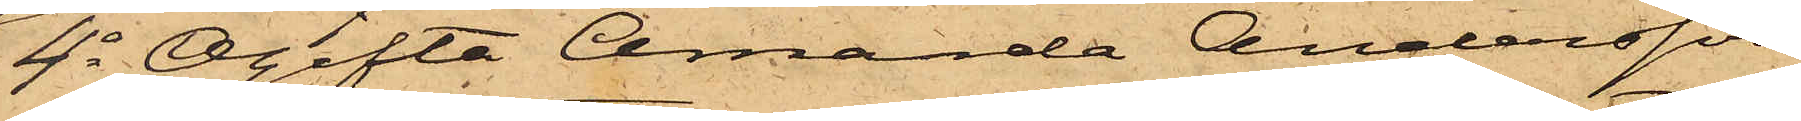4o Ogifta Amanda Andersson
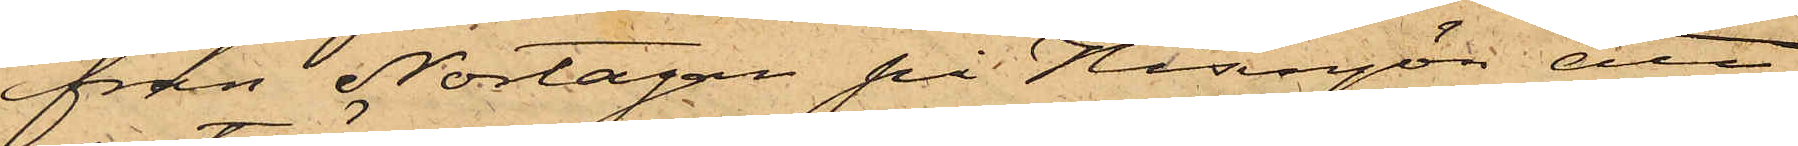från Nortagan på Hisingön att
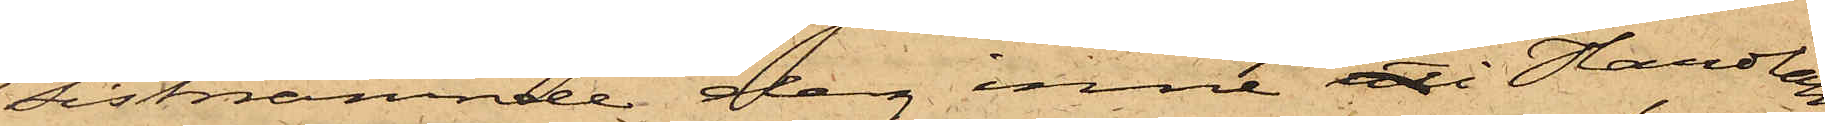sistnämnde dag inne uti Handlan¬
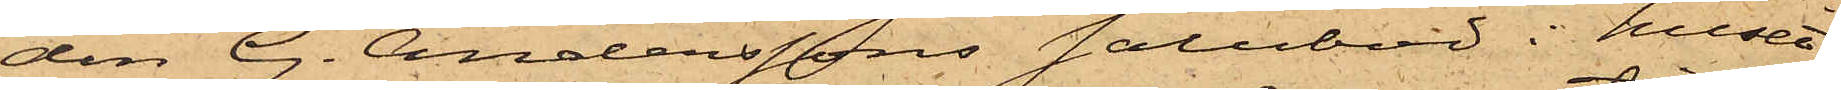den G. Anderssons salubod i huset
